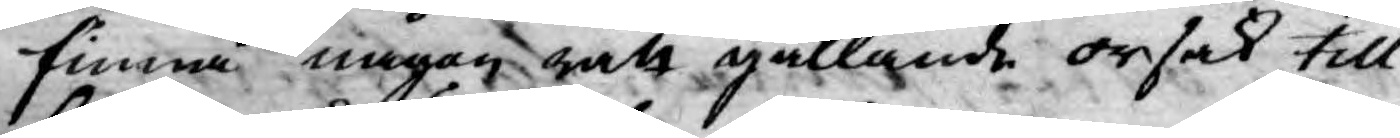finna någon rätt gällande orsak till
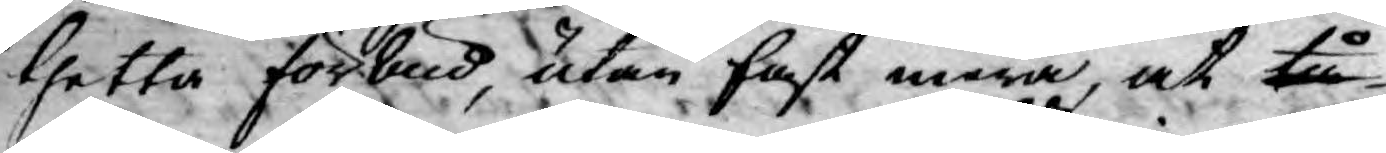thetta förbud, utan fast mera, at tå
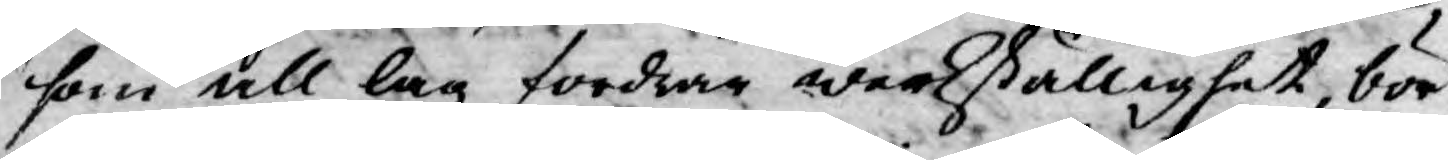som all lag fordrar werkställighet, bör
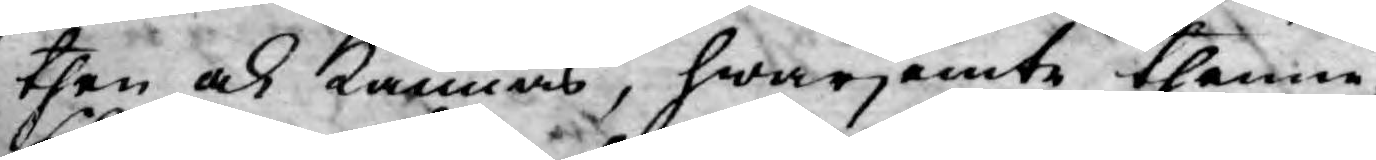then ock kännas, hwarjemte thenne
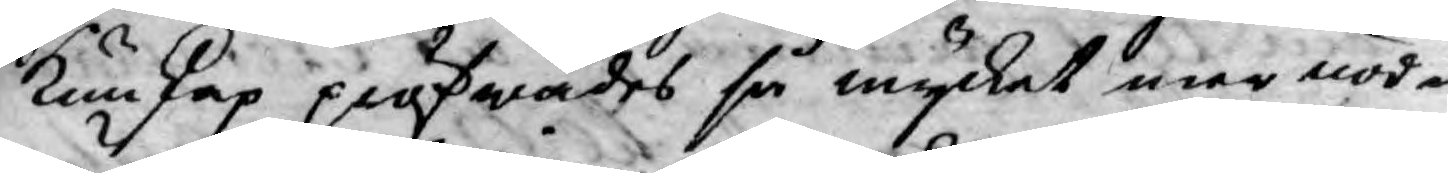kunskap pröfwades så mycket mer nöd¬
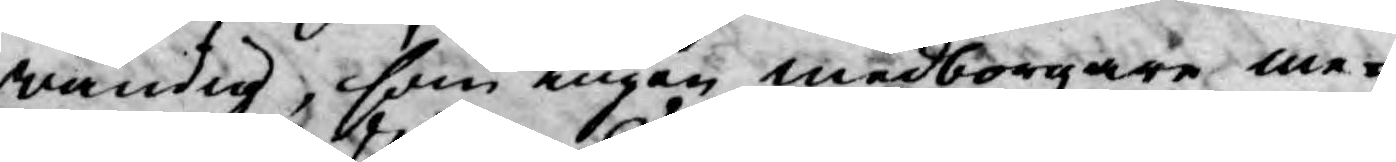wändig, som ingen medborgare me¬
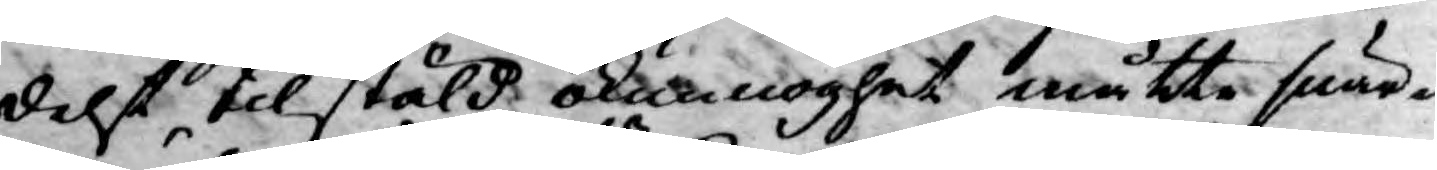delst tilstäld okunnoghet måtte swär¬
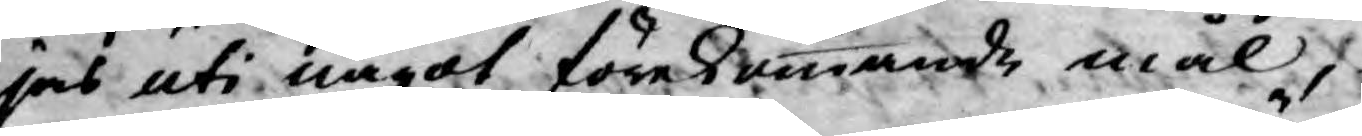jas uti något förekommande mål,
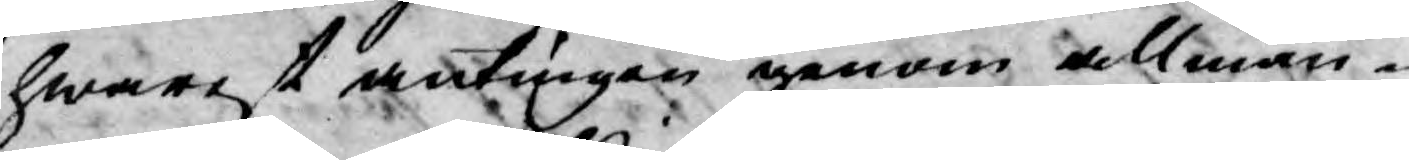hwarest, antingen genom allmän¬
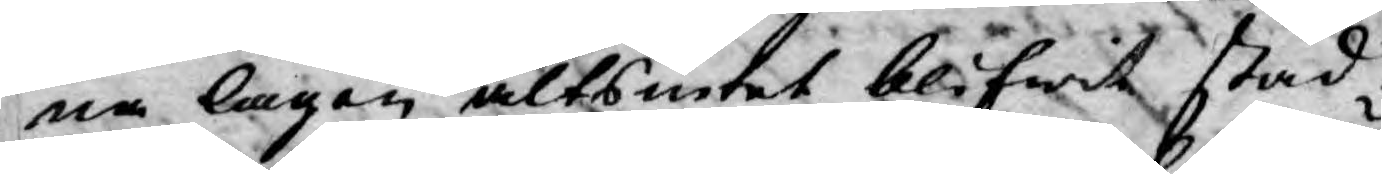na lagen altsintet blifwit stad¬
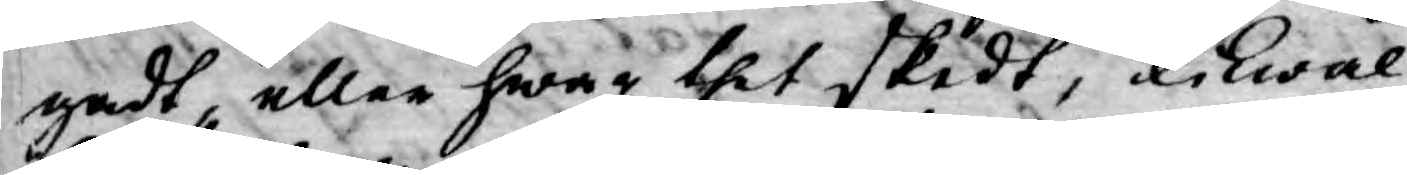gadt, eller hwar thet skedt, likwäl
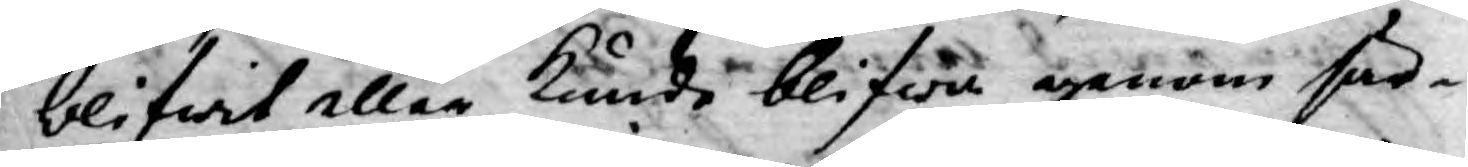blifwit eller kunde blifwa genom sär¬
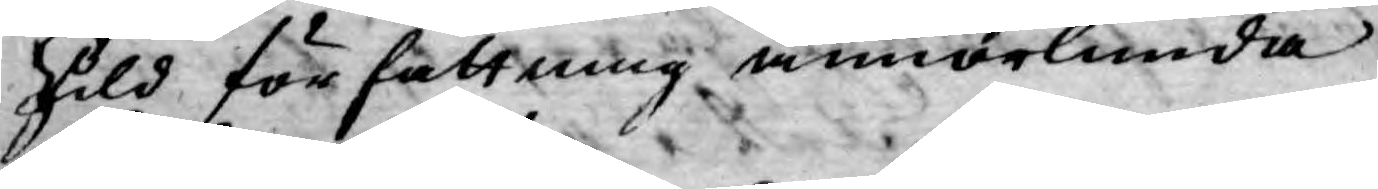skild författning annorlunda
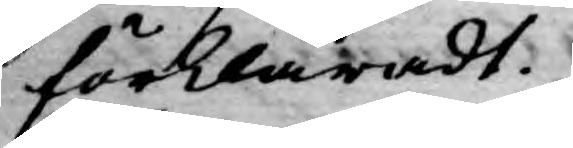förklaradt.
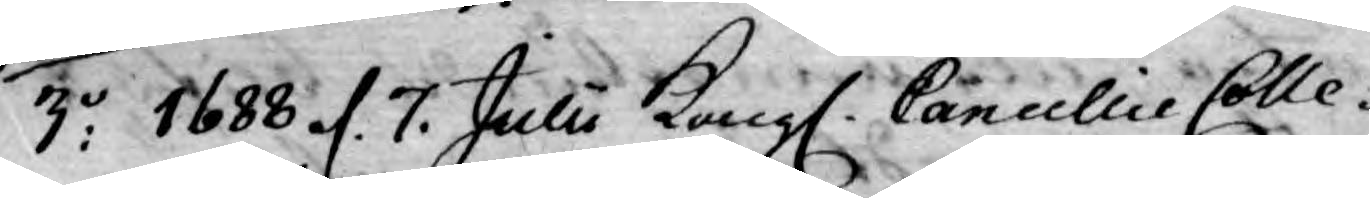3:o 1688 d. 7. Julii Kongl. Cancellie Colle¬
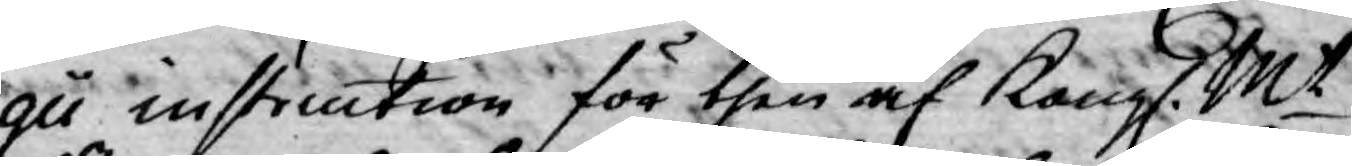gii instruction för then af Kongl. Mt
